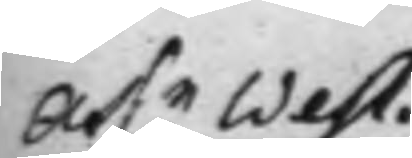Ass.n West¬
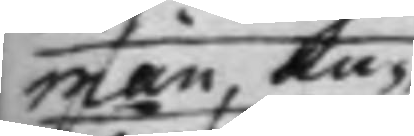man, An¬
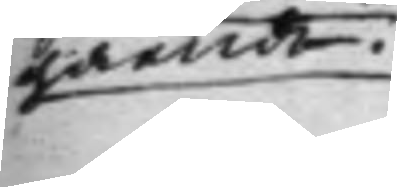gående.
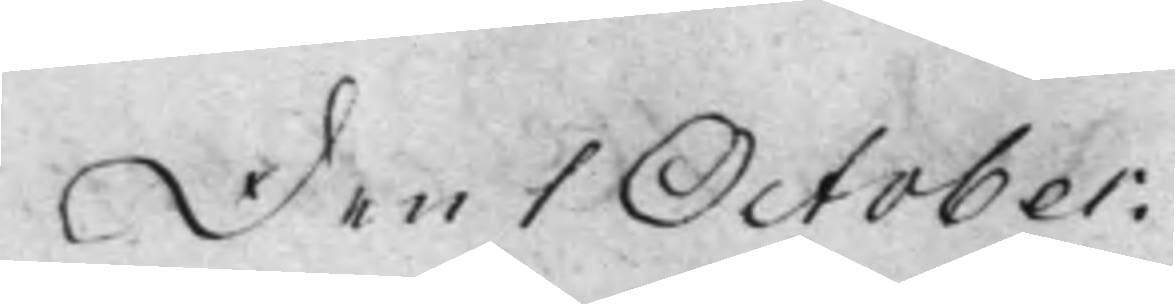Den 1 October.
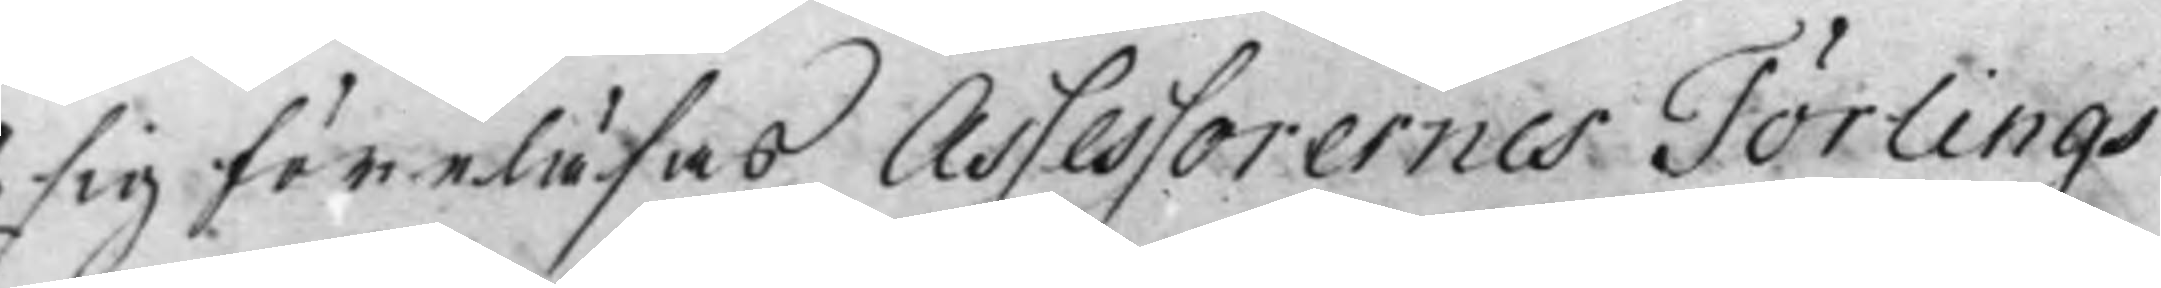sig föreläsas Assessorernes Törlings
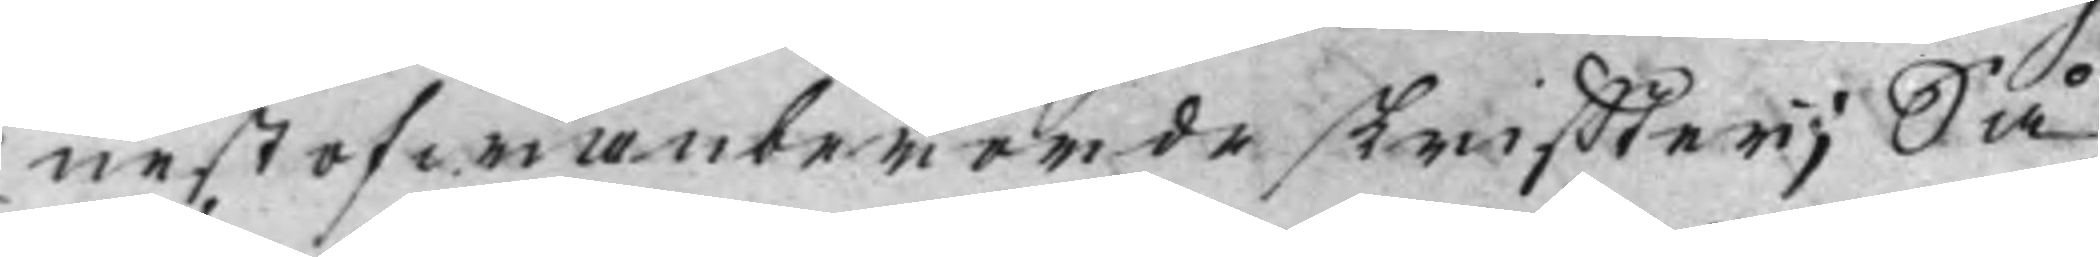nestofwanberörde skriffter; Så
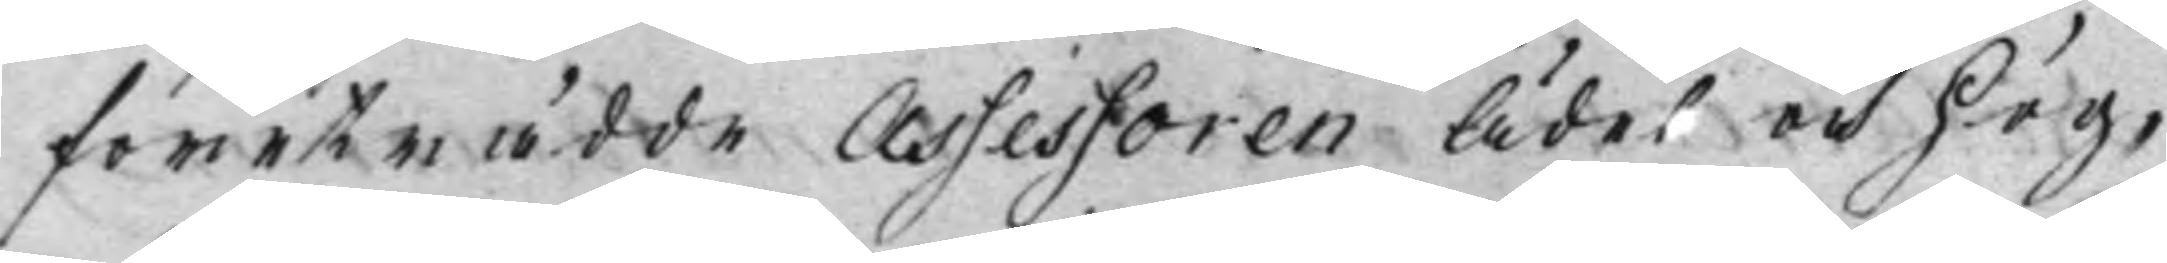företrädde Assessoren Ädel och Hög¬
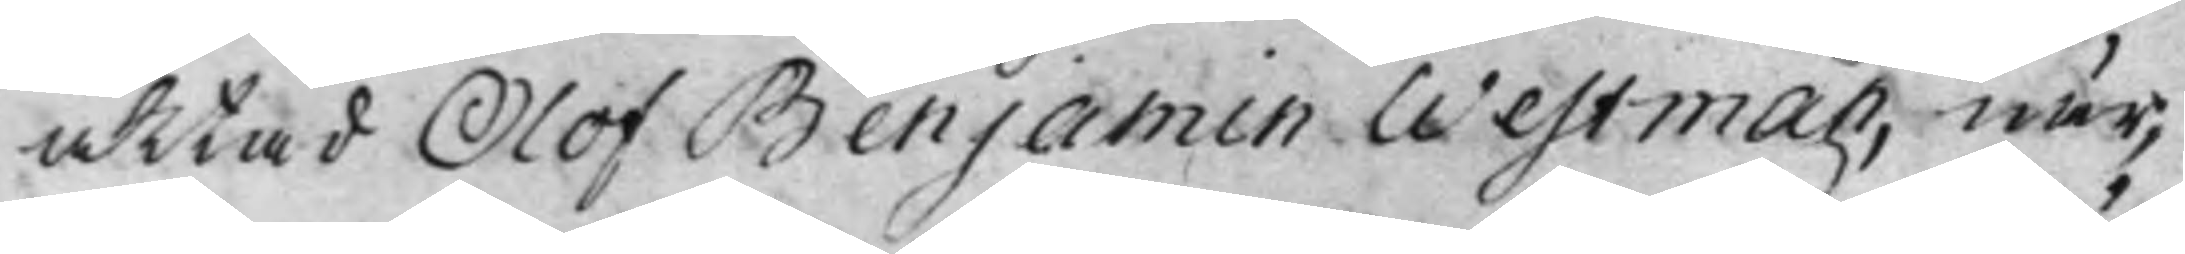aktad Olof Benjamen Westman, när¬
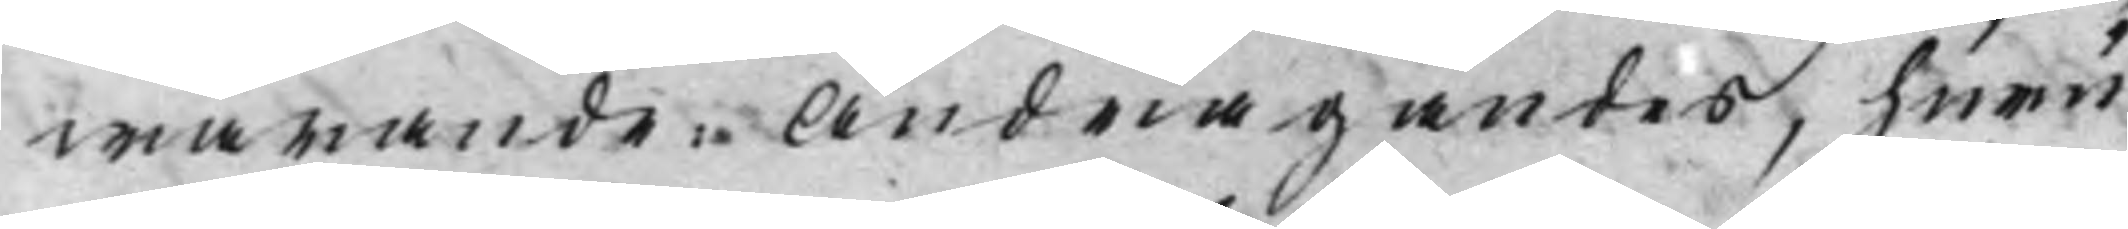warande. Andragandes, huru
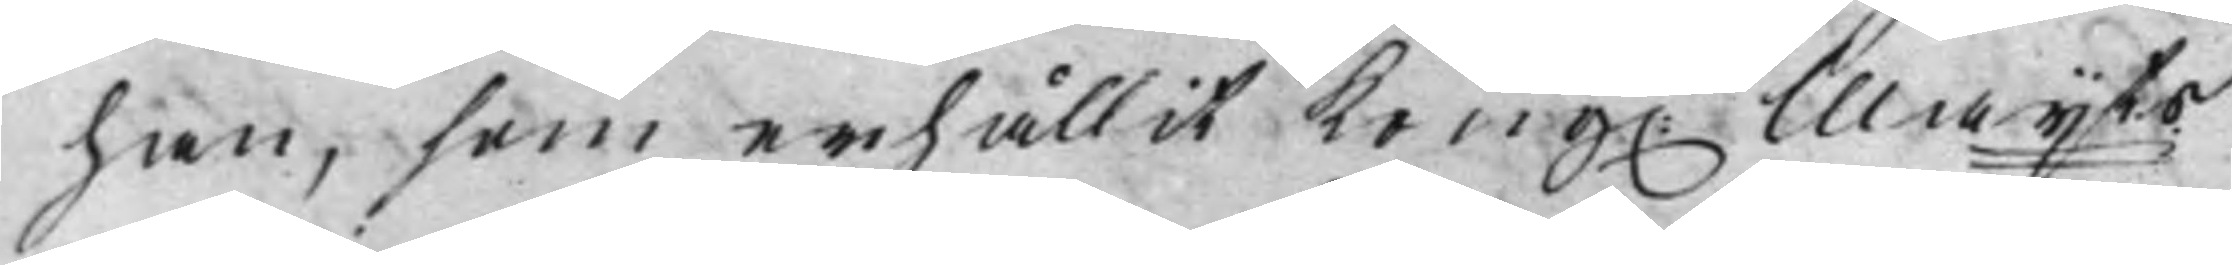han, som erhållit Kong. Maijts 
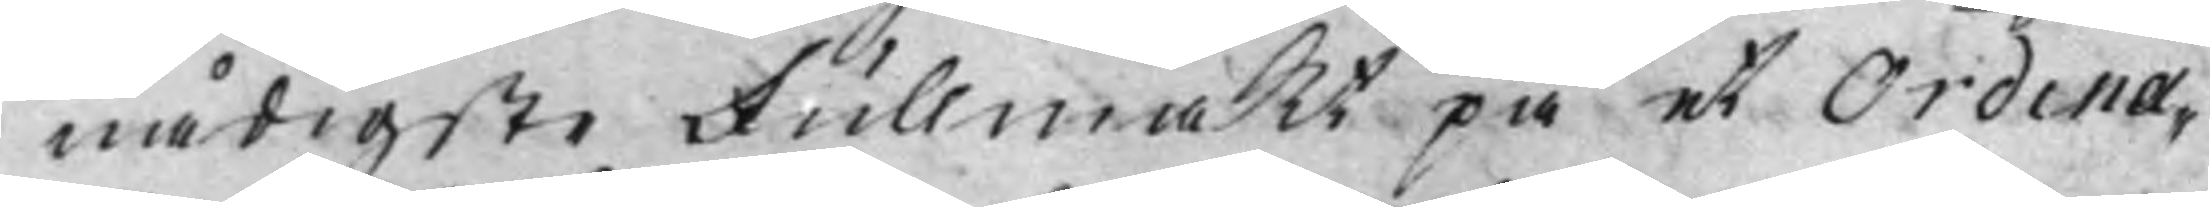nådigste Fullmakt på et Ordina¬
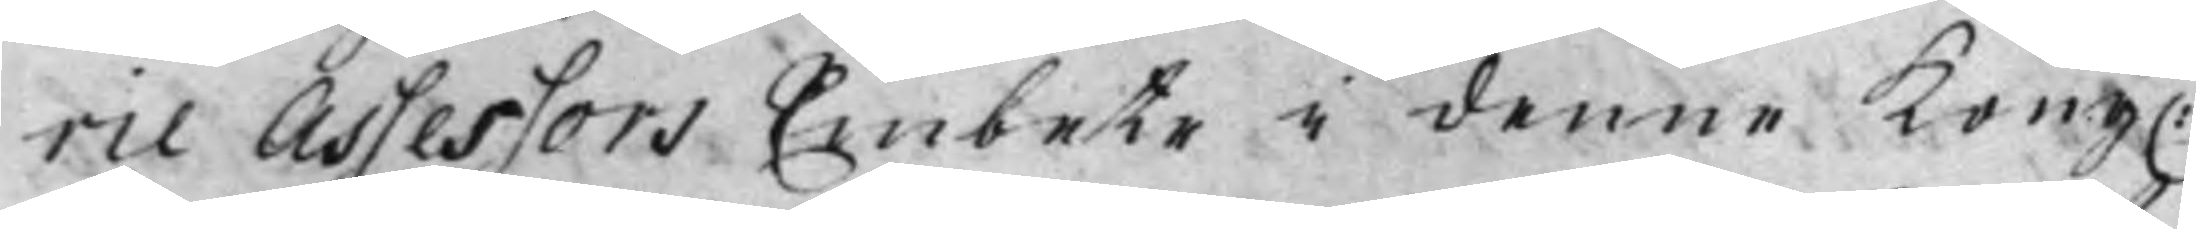rie Assessors Embete i denne Kong. 
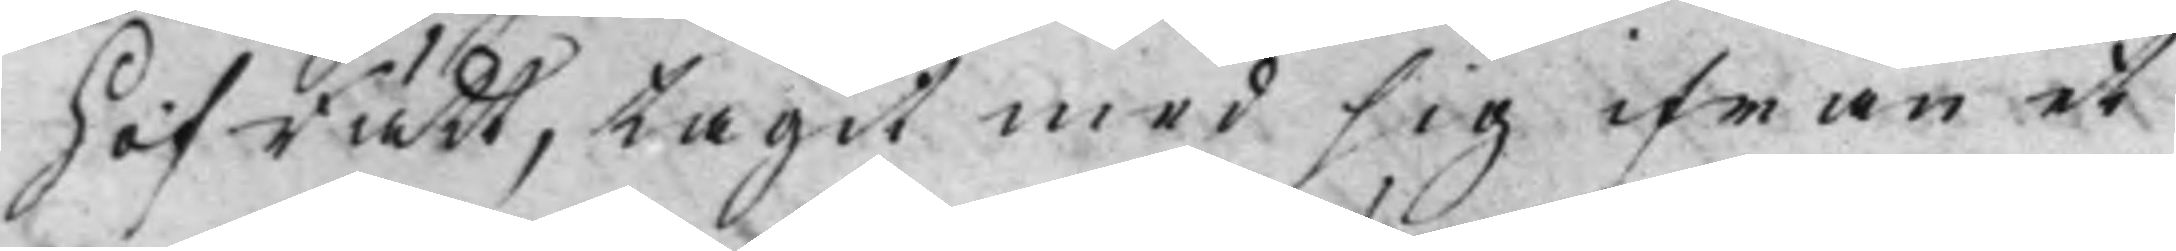HofRätt, tagit med sig ifrån et
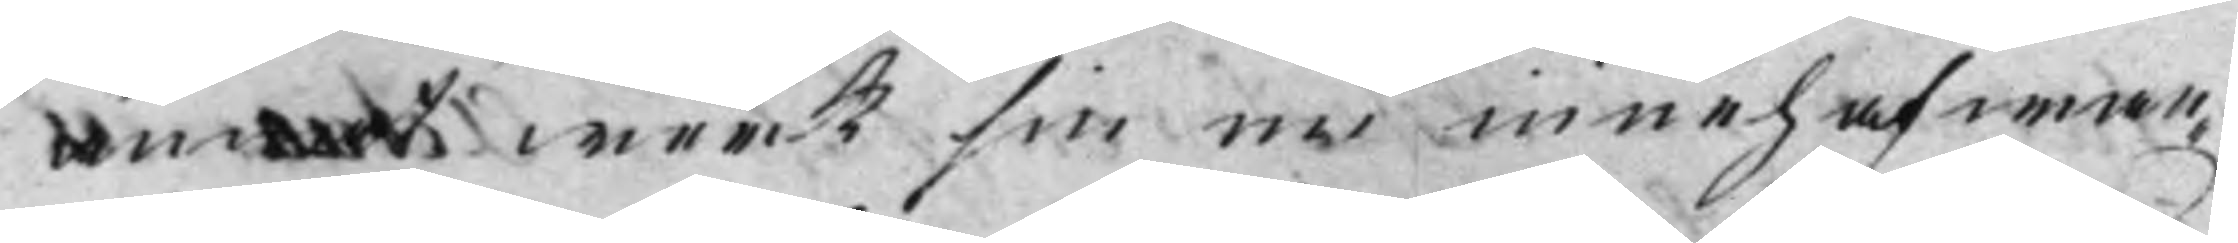annat werk sin nu innehafwan¬
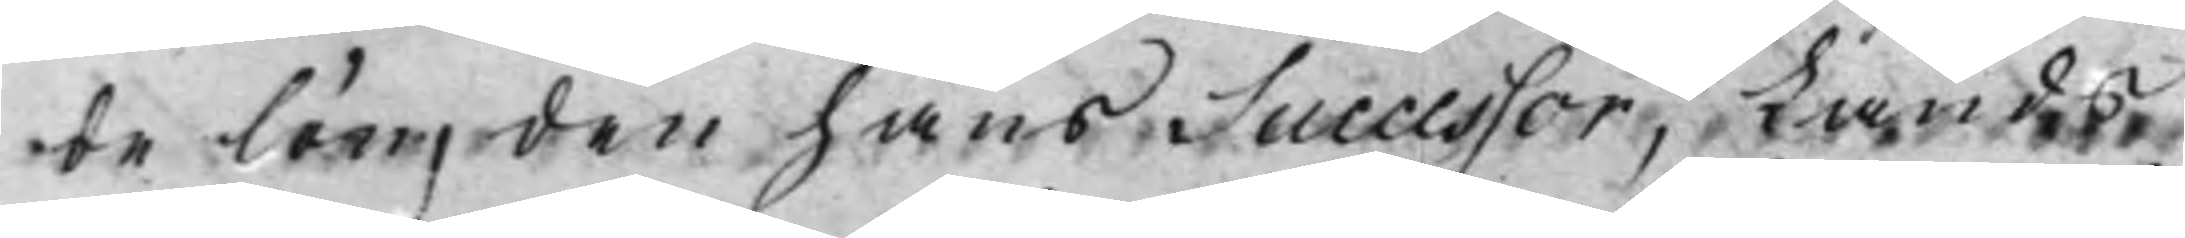de lön, den hans Successor, Lands
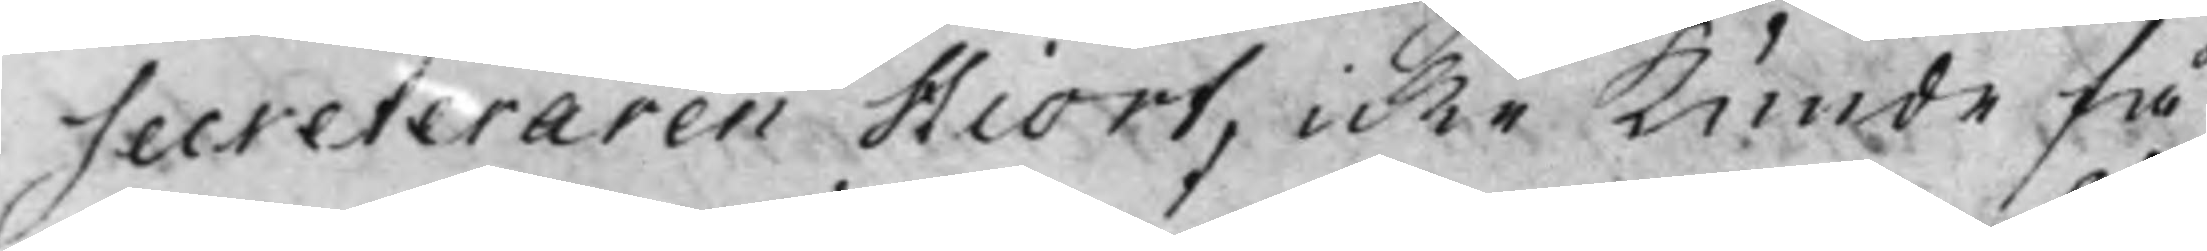Secreteraren Hiort, icke Kunde få
